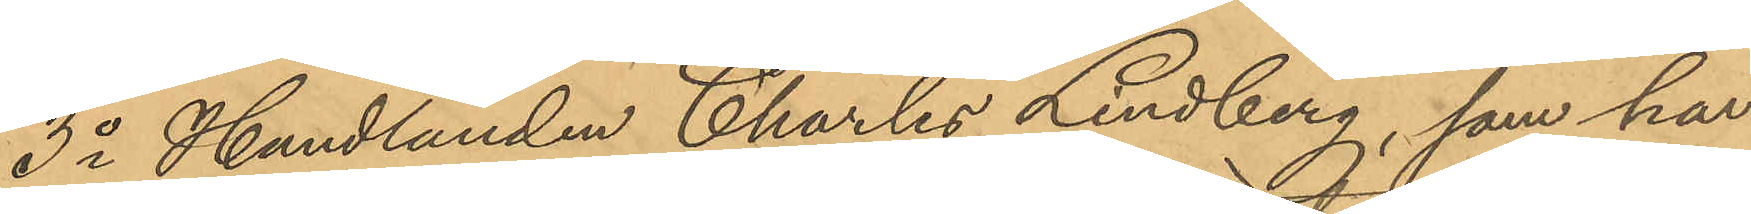3o Handlanden Charles Lindberg, som har
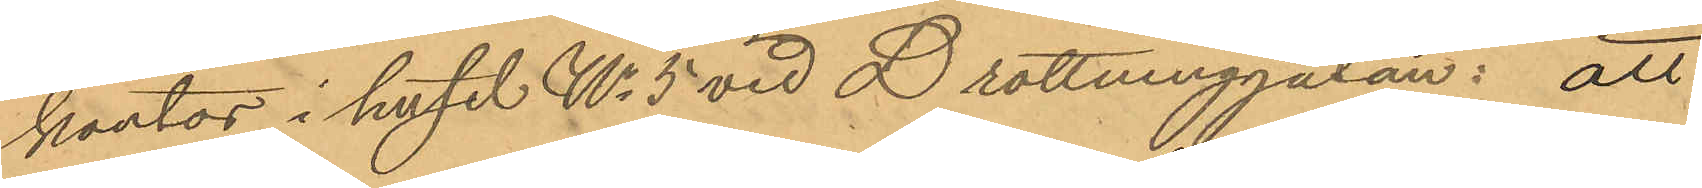kontor i huset No 5 vid Drottninggatan: att
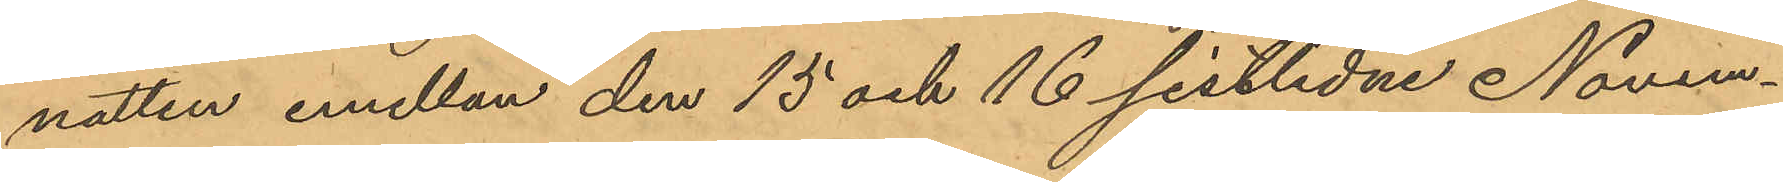natten emellan den 15 och 16 sistlidne Novem¬
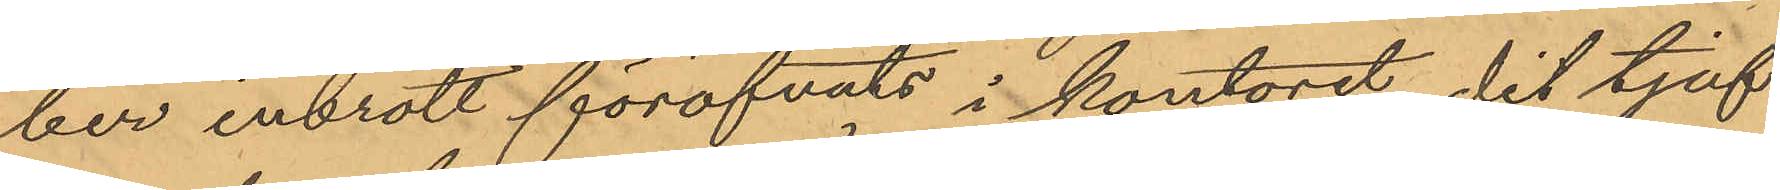ber inbrott föröfvats i kontoret, dit tjuf¬
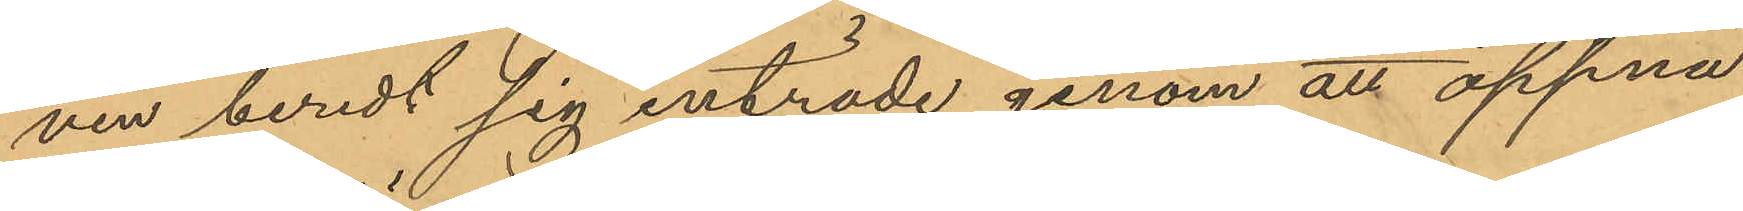ven beredt sig inträde genom att öppna
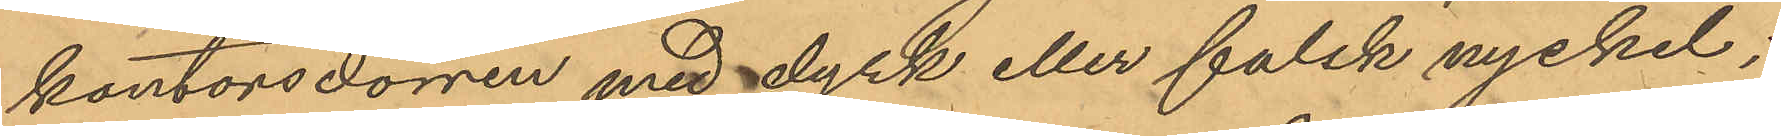kontorsdörren med dyrk eller falsk nyckel;
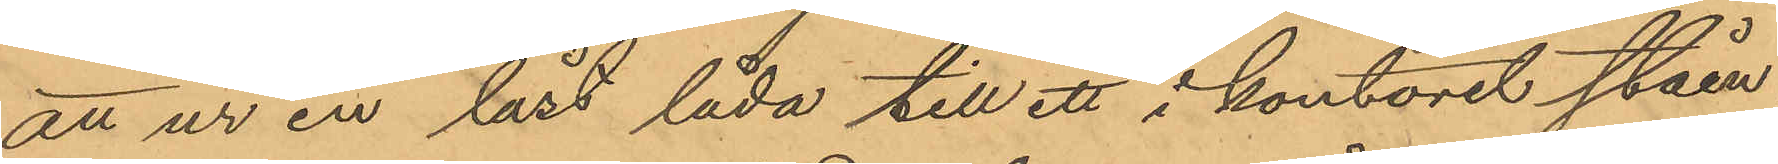att ur en låst låda till ett i kontoret ståen¬
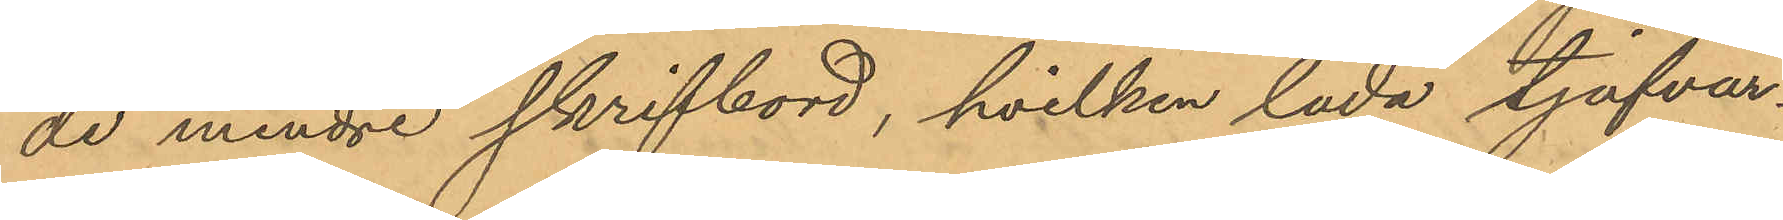de mindre skrifbord, hvilken låda tjufvar¬
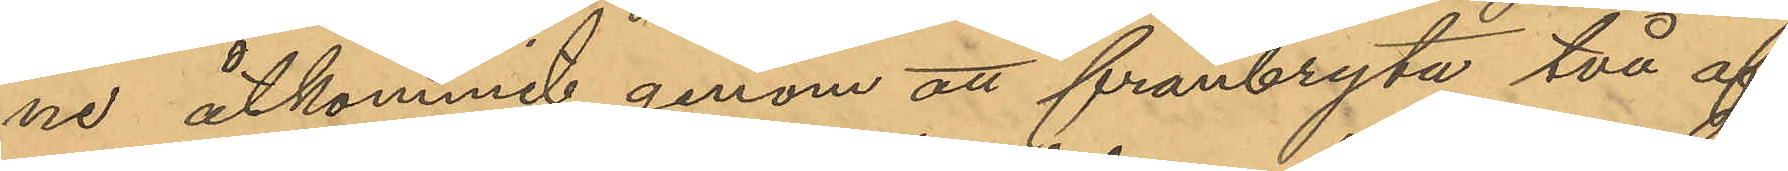ne åtkommit genom att frånbryta två af
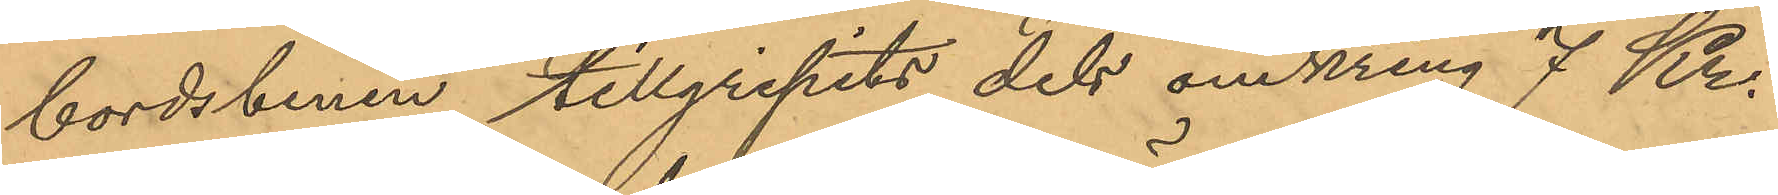bordsbenen tillgripits dels omkring 7 Kr.
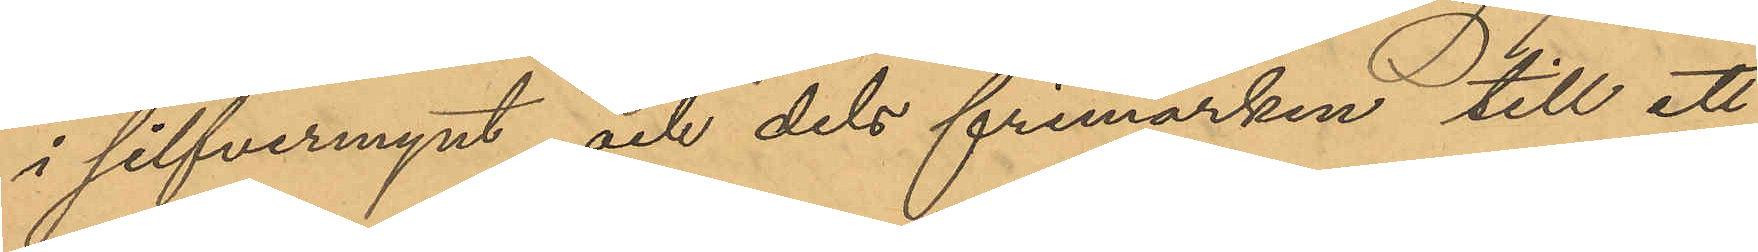i silfvermynt och dels frimärken till ett
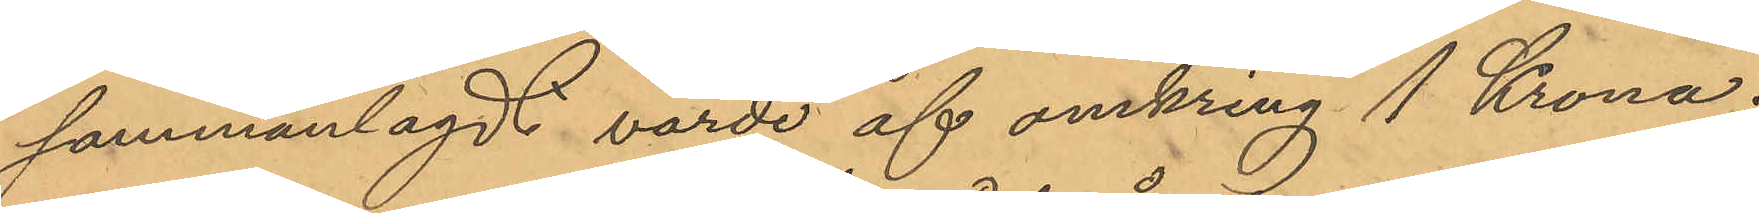sammanlagdt värde af omkring 1 Krona;
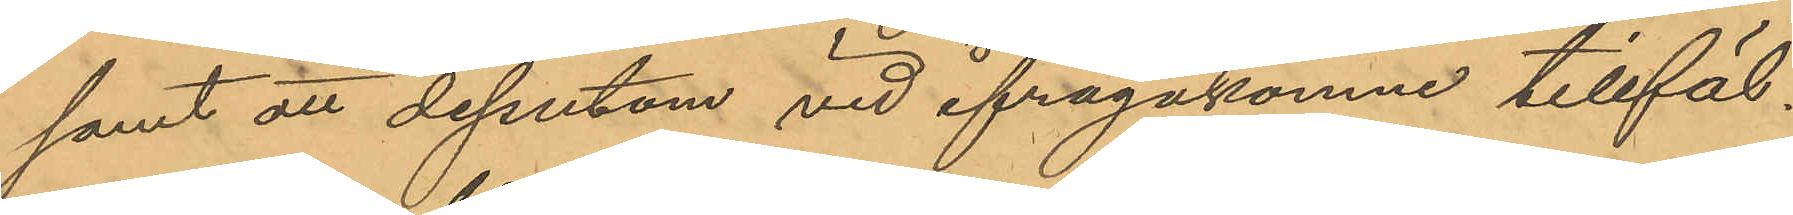samt att dessutom vid ifrågakomne tillfäl¬
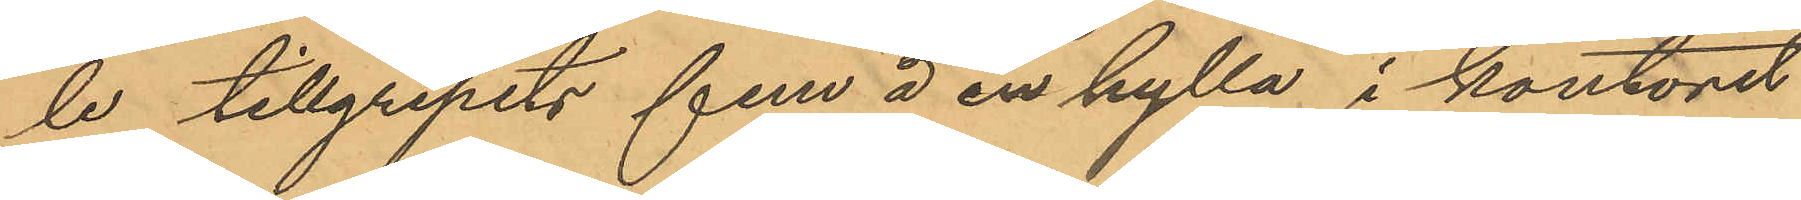le tillgripits fem å en hylla i kontoret
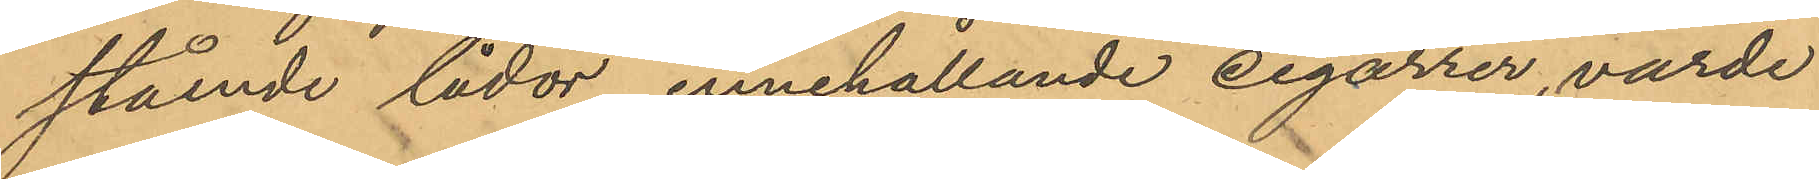stående lådor, innehållande cigarrer, värde
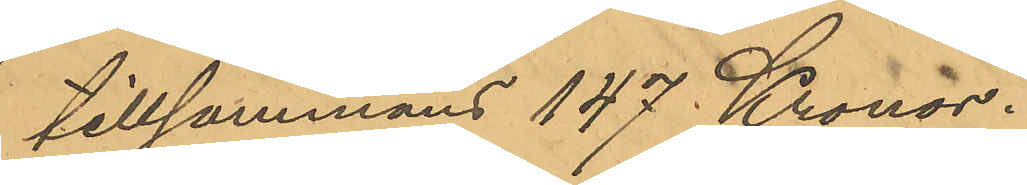tillsammans 147 Kronor.
